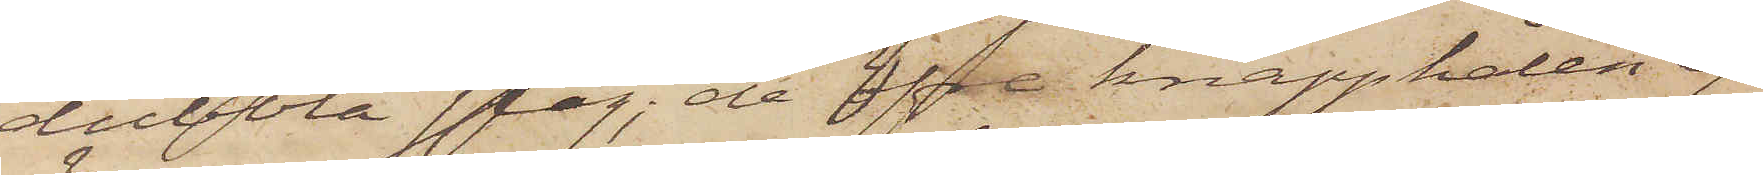dubbla slag, de öfre knapphålen ej
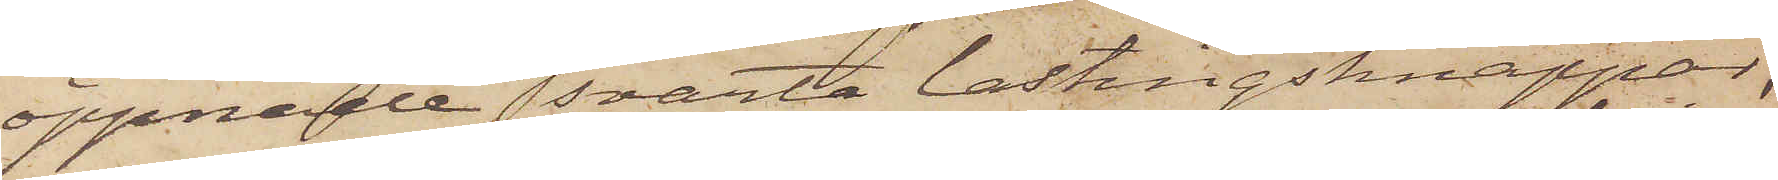öppnade, svarta lastingsknappar,
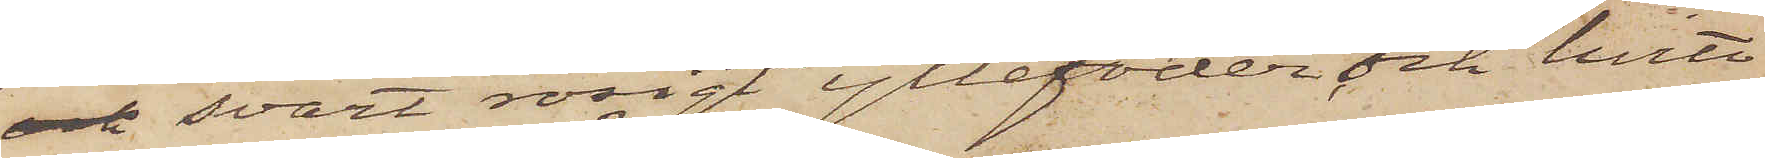och svart rosigt yllefoder, och hvitt
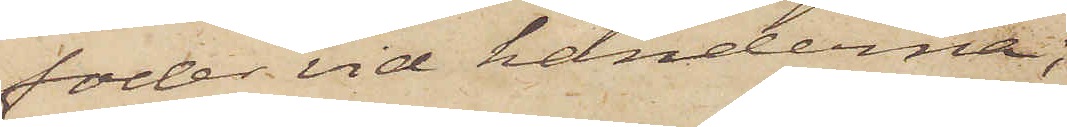foder vid händerna;
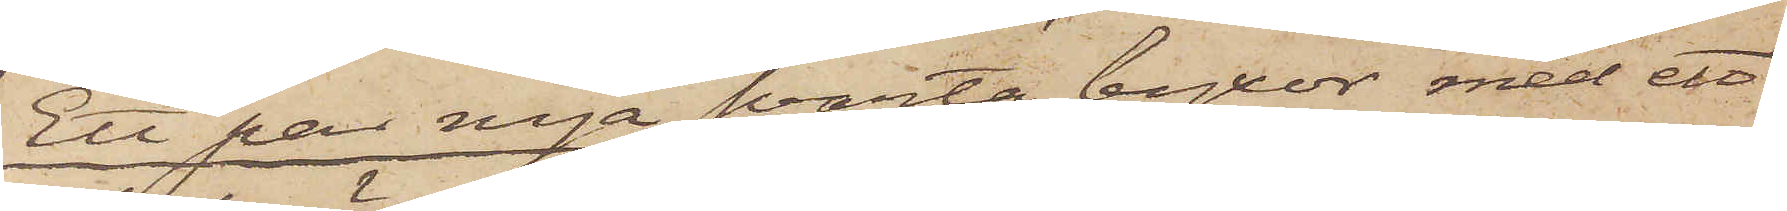Ett par nya svarta byxor med ett
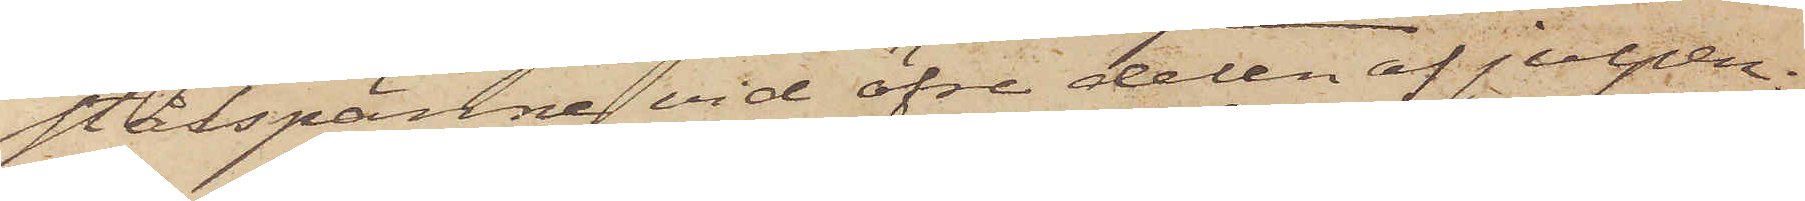stålspänne vid öfre delen af julpen;
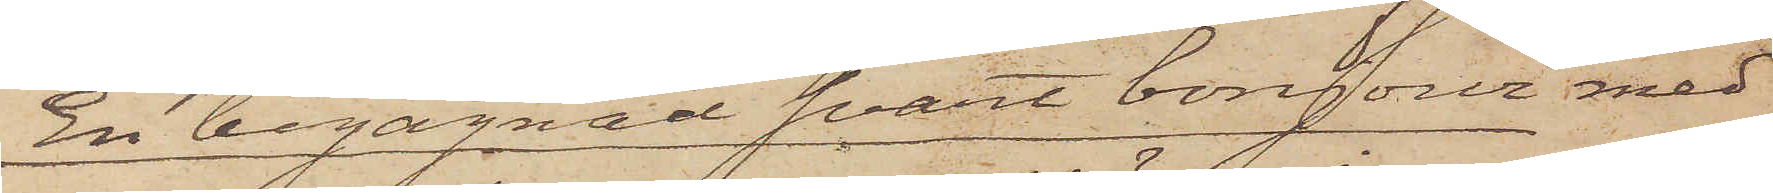En begagnad svart bonjour med
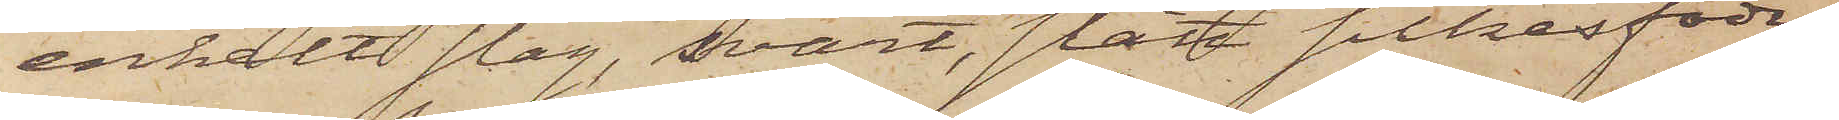enkelt slag, svart, slätt silkesfoder,
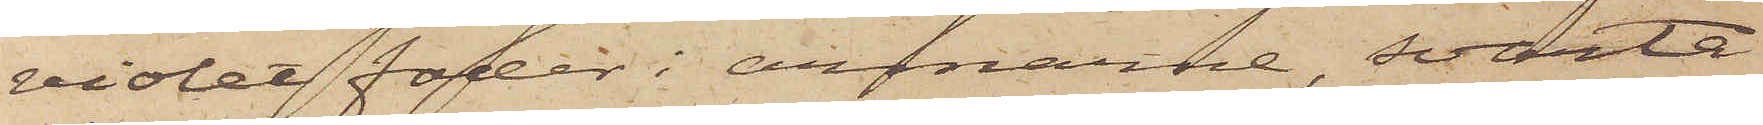violet foder i armarne, svarta
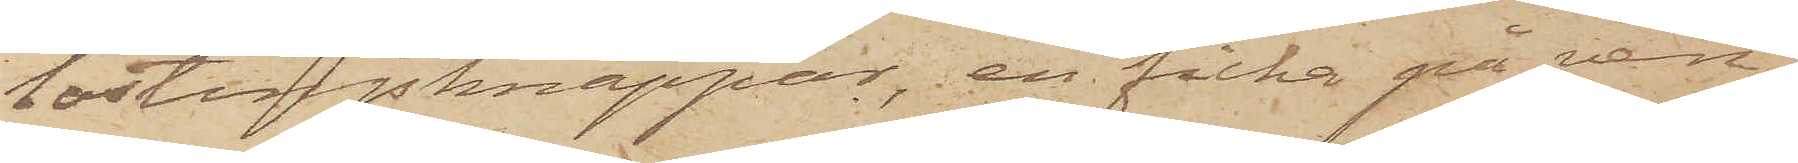lastingsknappar, en ficka på ven¬
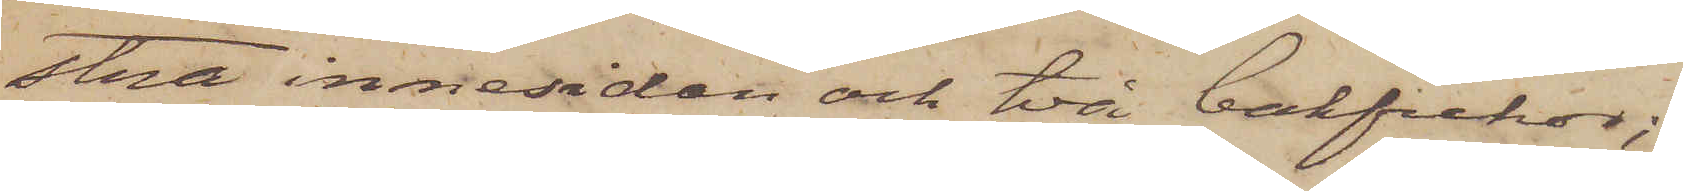stra innesidan och två bakfickor;
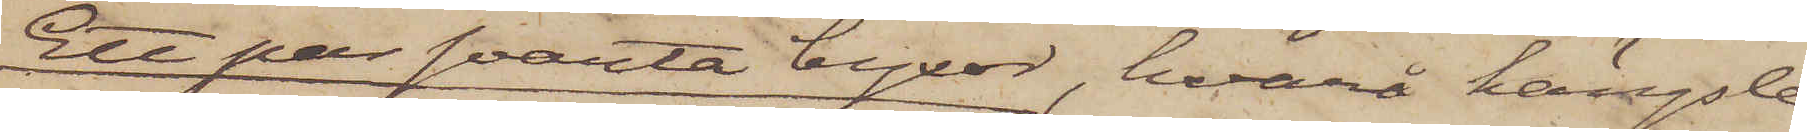Ett par svarta byxor, hvarå hängsle¬
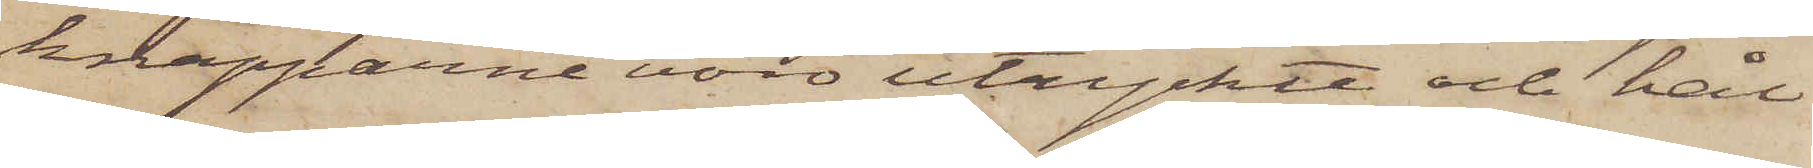knapparne voro utryckte och hål
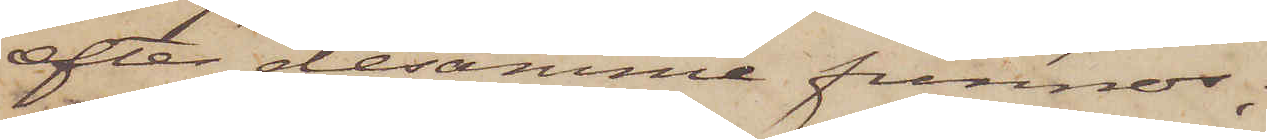efter desamme funnos;
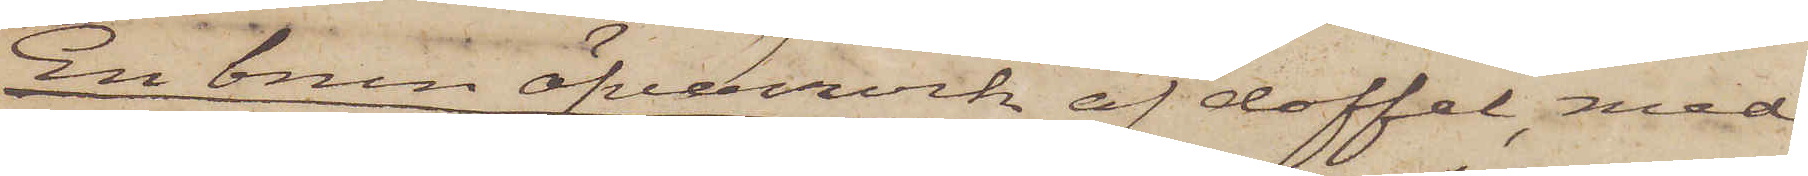En brun öfverrock af doffel, med
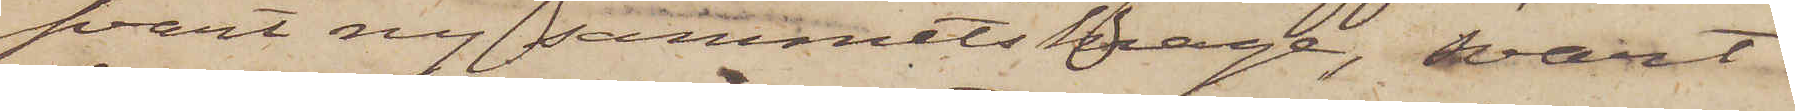svart ny sammetskrage, svart
